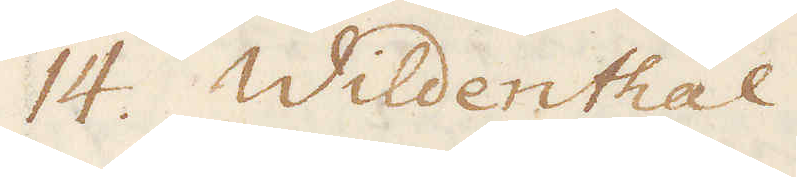14. Wildenthal.
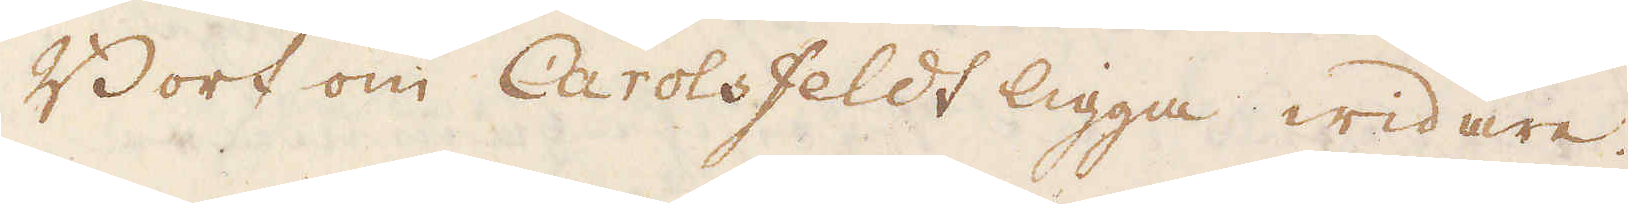Bort om Carolsfeldt ligga widare.
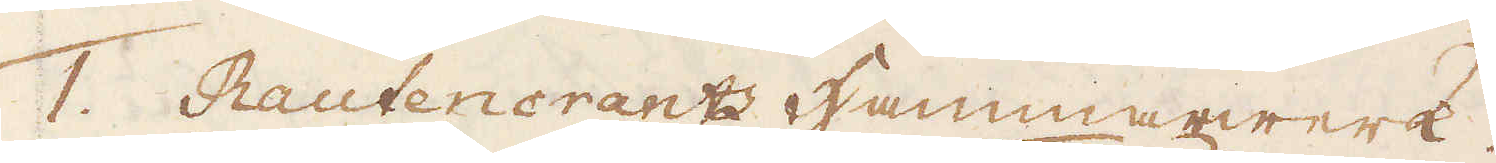1. Rautenerants Hammarwerk.
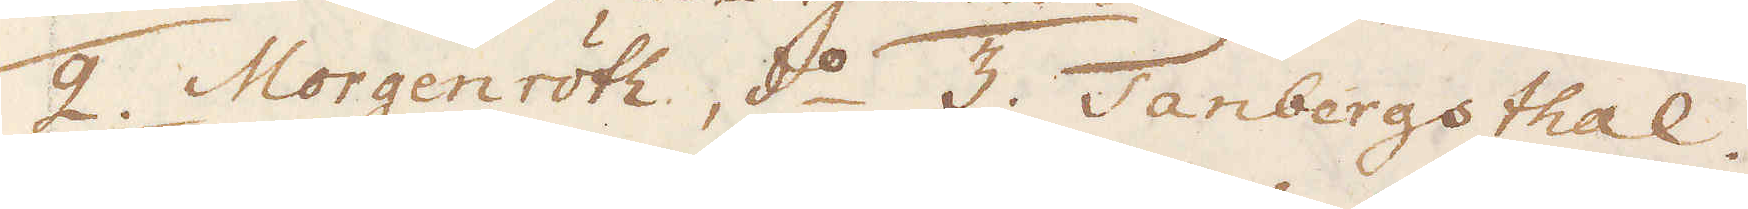2. Morgenröth, d:o 3. Tanbergsthal.
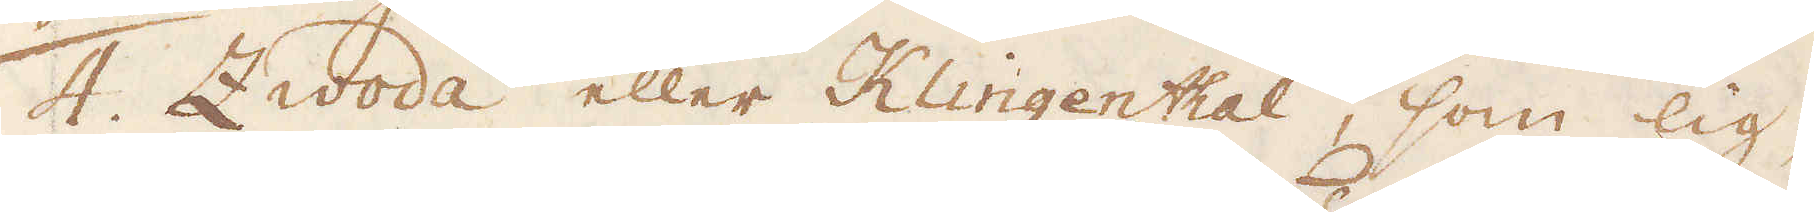4. Zwoda eller Klingenthal, som lig-
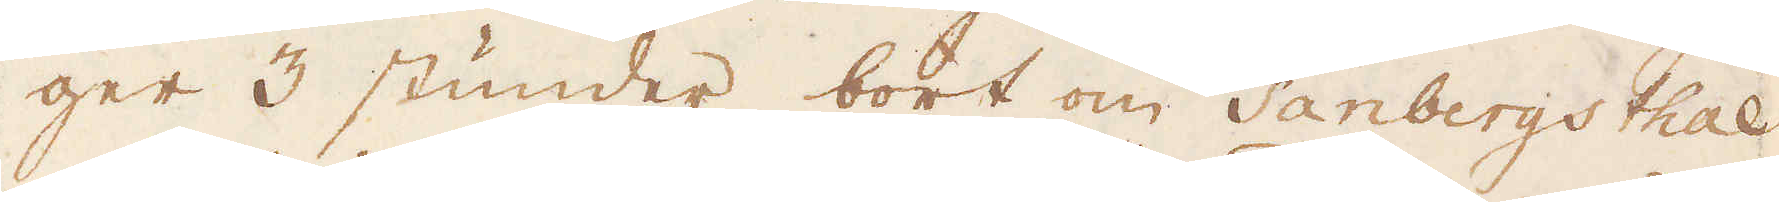ger 3 stunder bort om Tanbergsthal
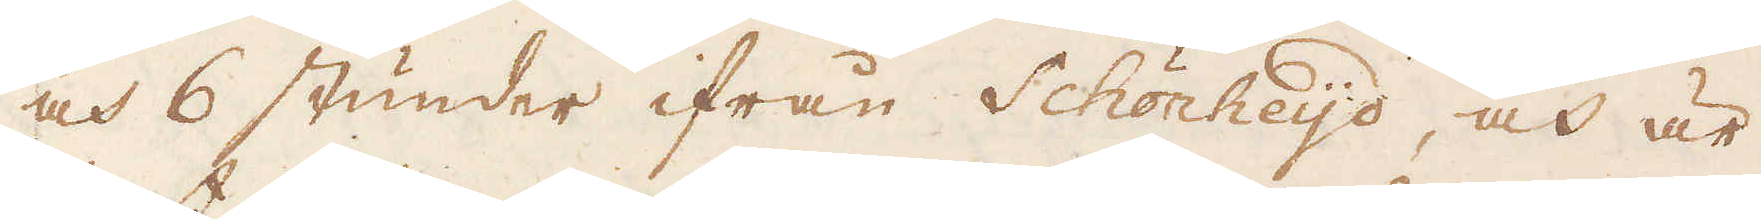och 6 stunder ifrån Schönheijd, och är
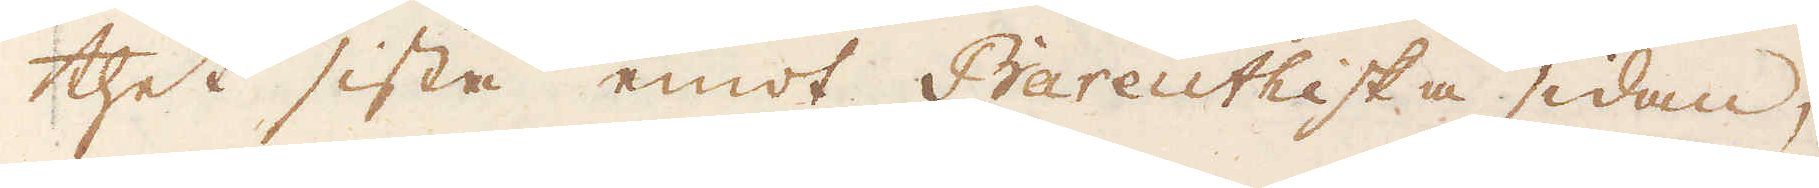thet sista emot Bareüthiska sidan,
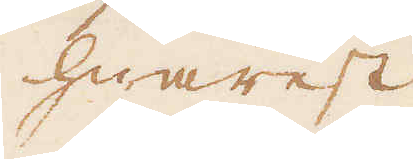hwarest
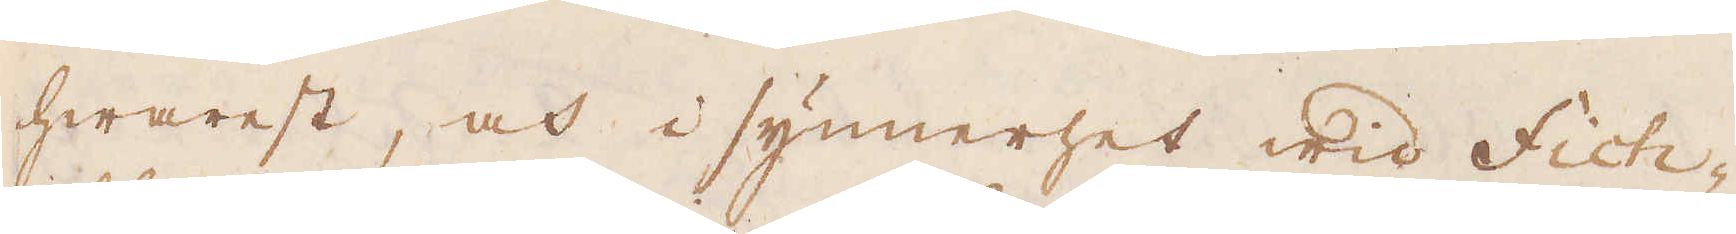hwarest, och i synnerhet wid Fich-
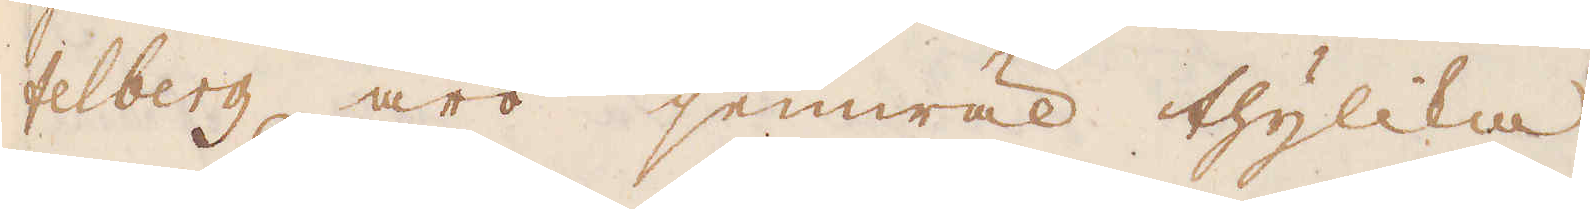felberg äro jemwäl thylika
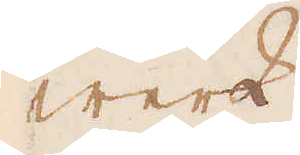werk
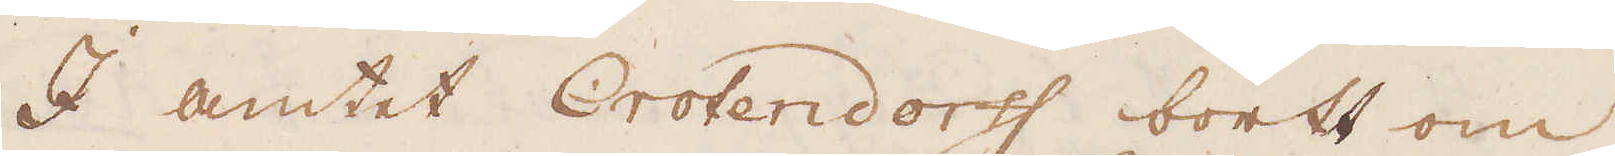I amtet Crotendorff bortt om
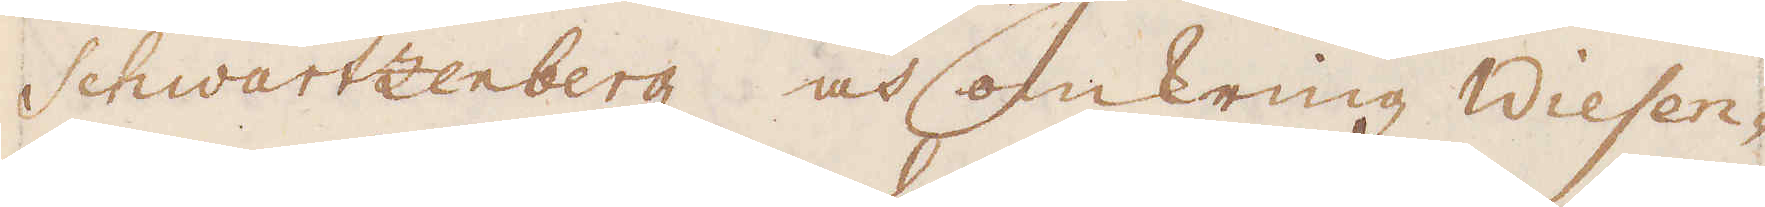Schwartzenberg och omkring Wiesen-
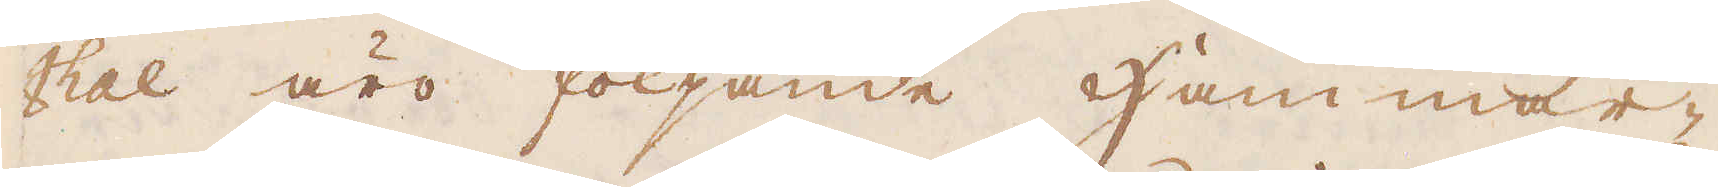thal äro följande Hammar-
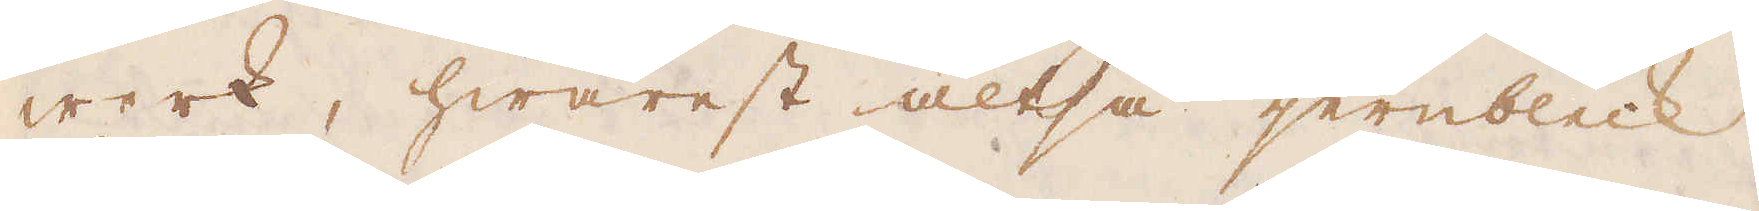werk, hwarest altså jernbleck
